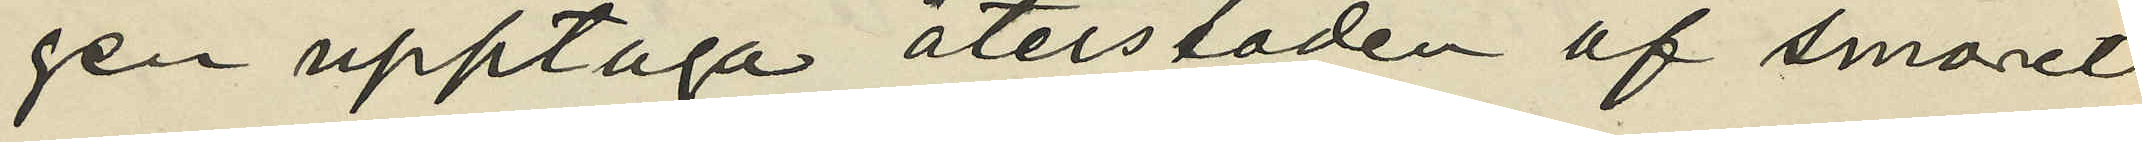gen upptaga återstoden af smöret
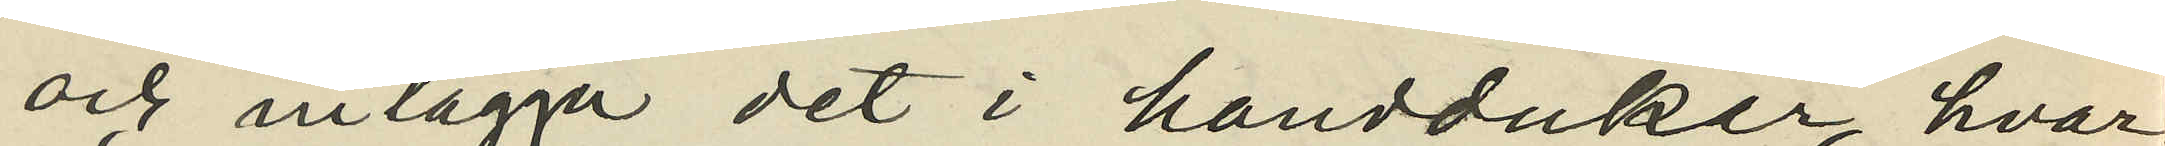och inlägga det i handduker, hvar
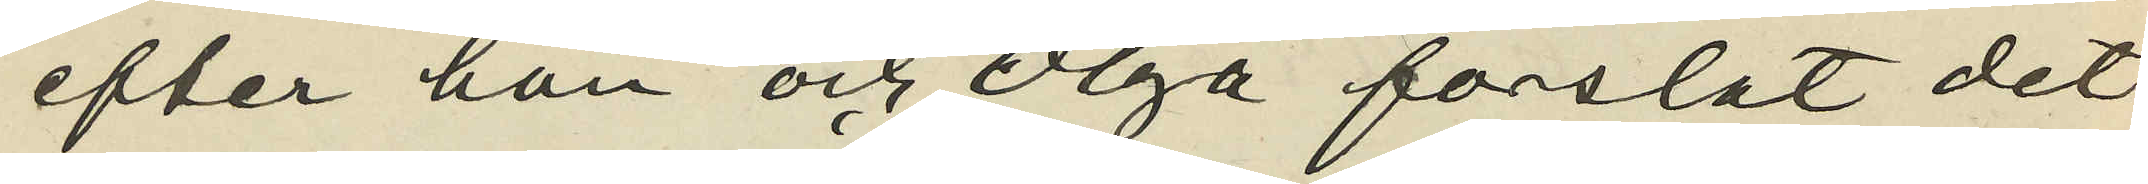efter han och Olga forslat det¬
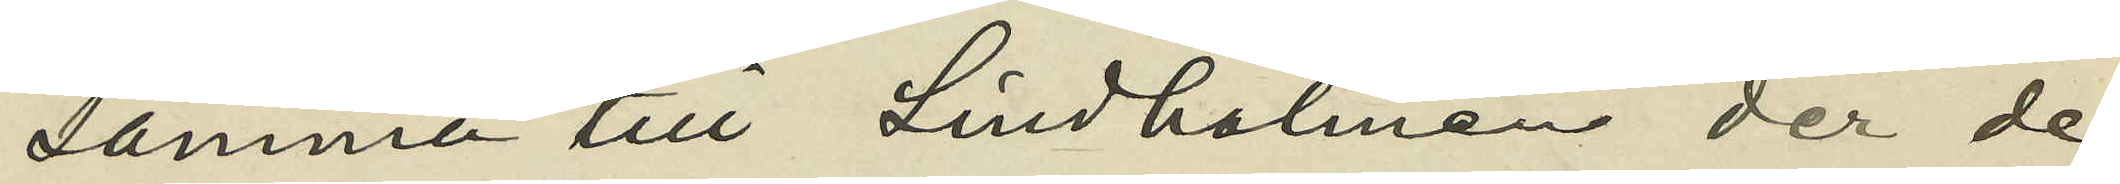samma till Lindholmen der de
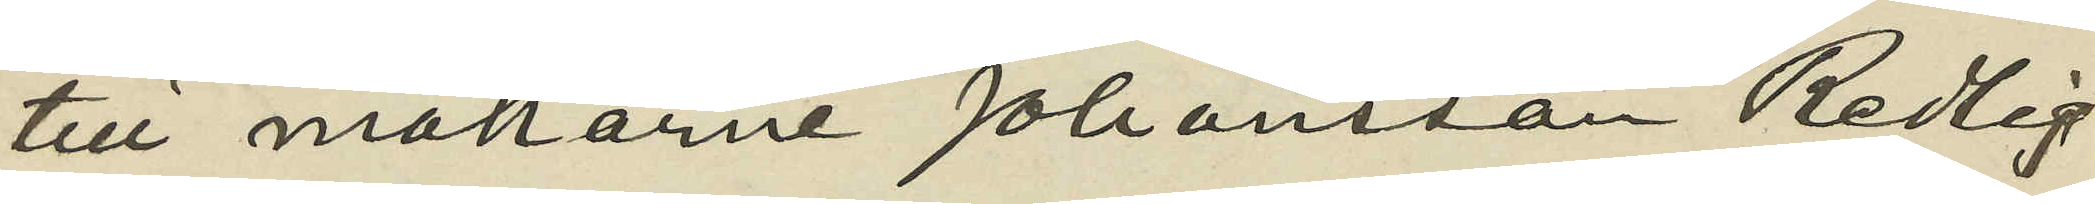till makarne Johansson Redlig
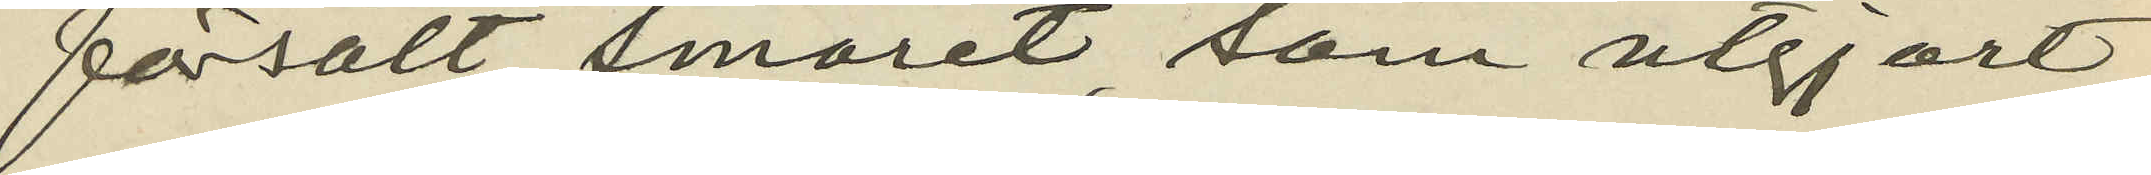försålt smöret, som utgjort
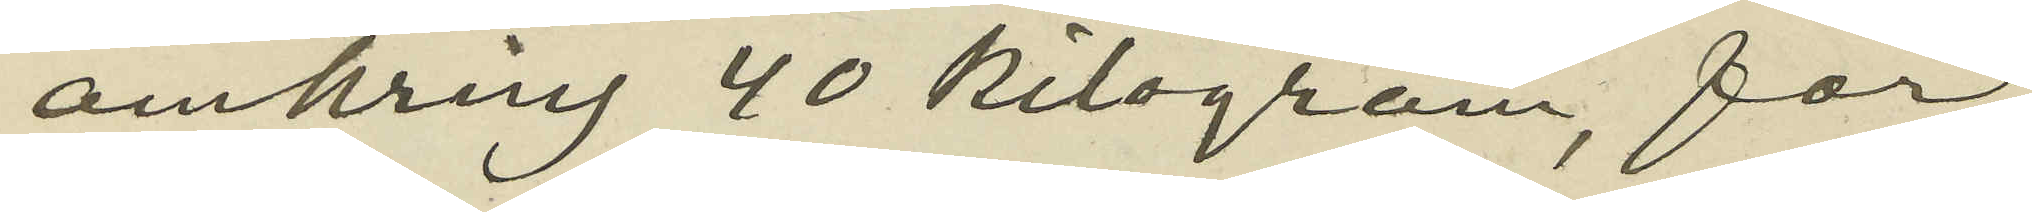omkring 40 kilogram, för
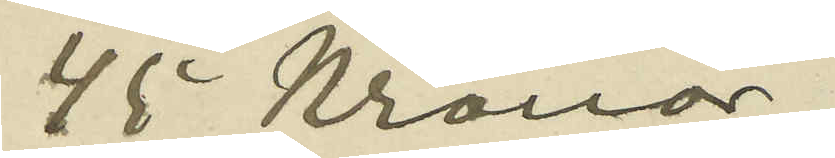45 kronor;
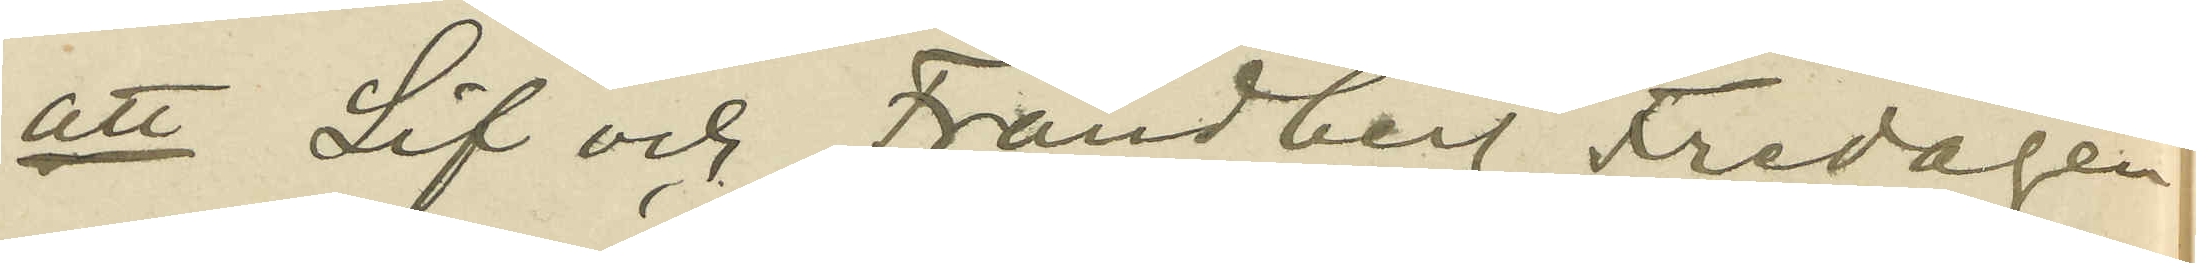att Lif och Frandberg Fredagen
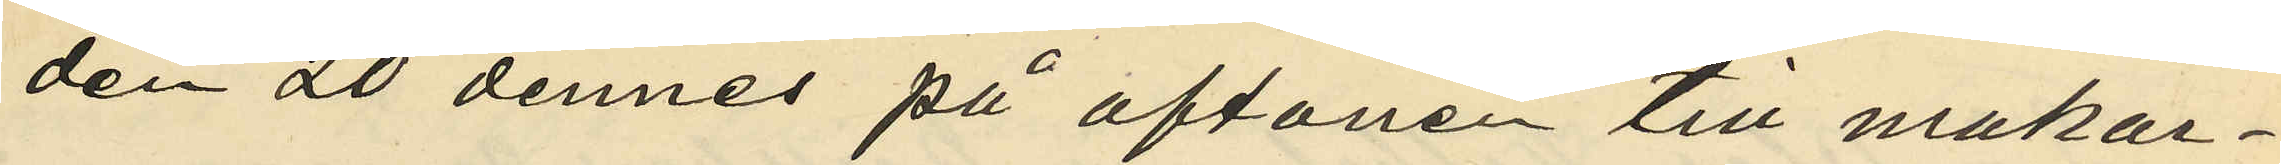den 20 dennes på aftonen till makar¬
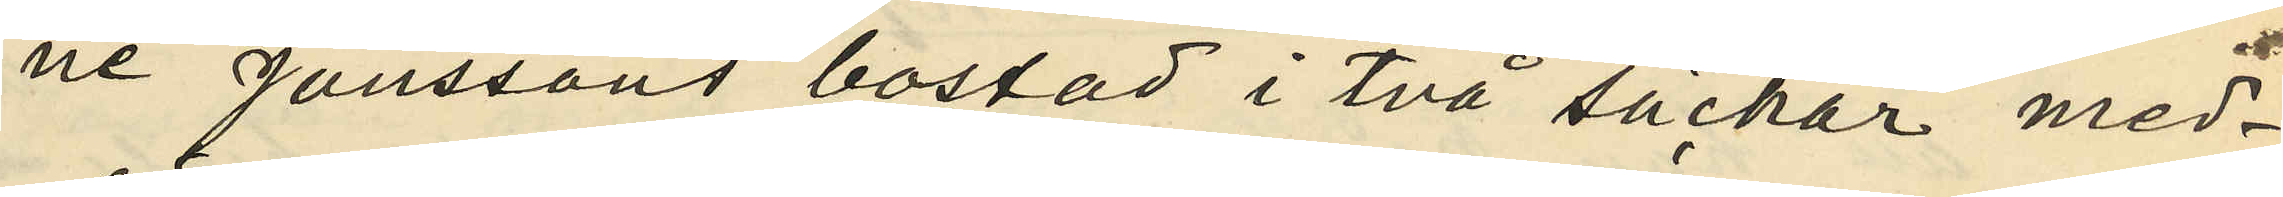ne Jönssons bostad i två säckar med¬
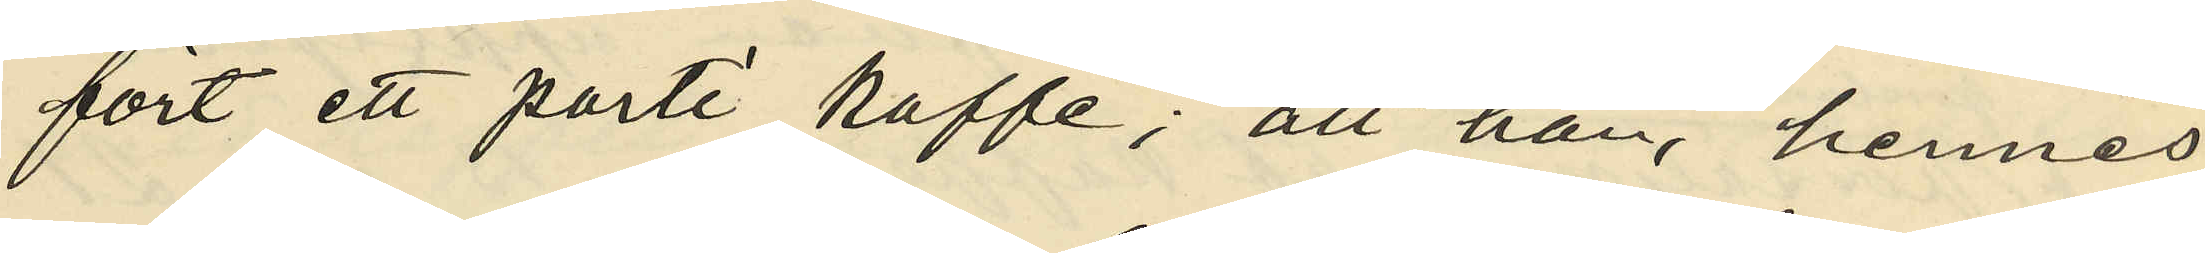fört ett parti kaffe; att han, hennes
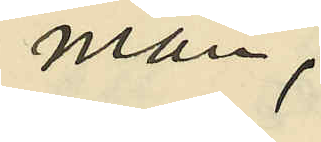man,
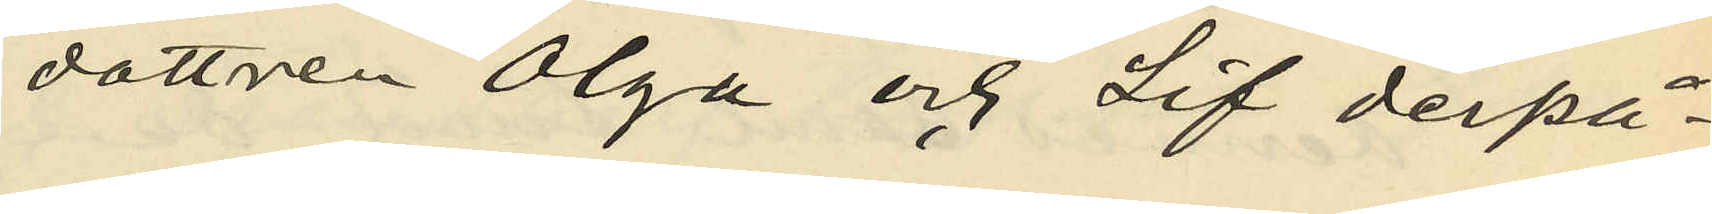dottren Olga och Lif derpå¬
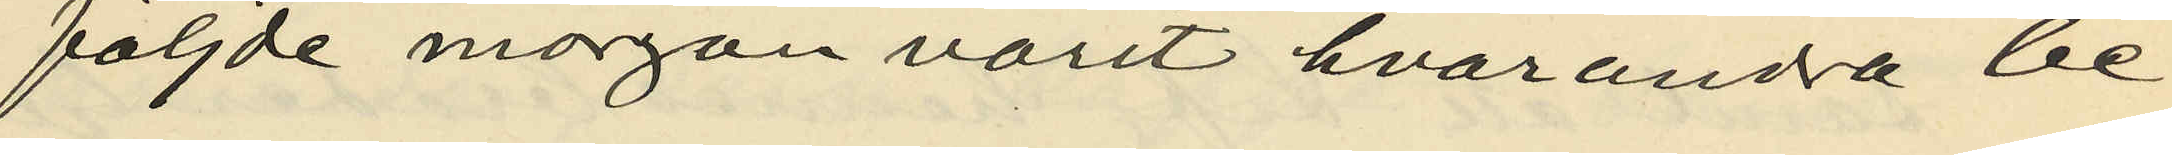följde morgon varit hvarandra be¬
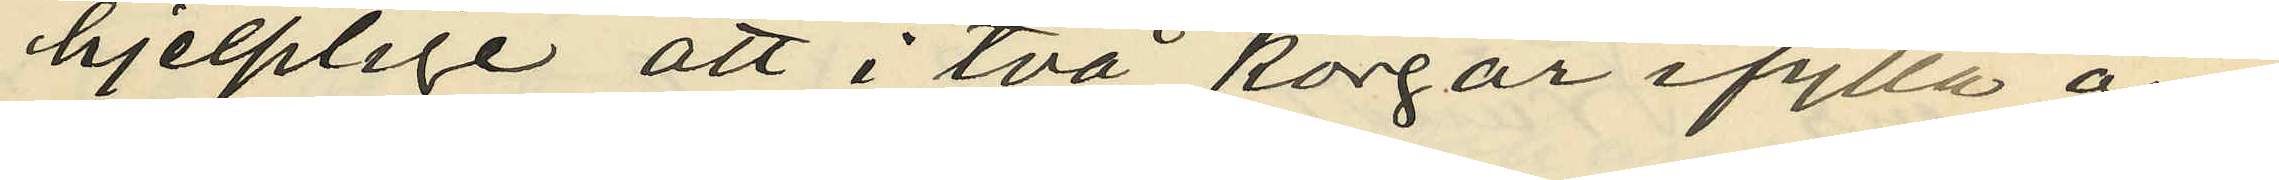hjelplige att i två korgar ifylla om¬
